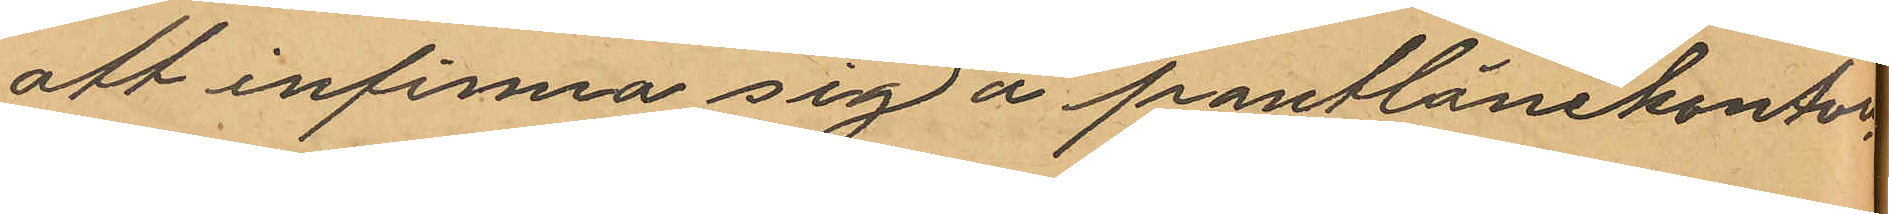att infinna sig å pantlånekontoret
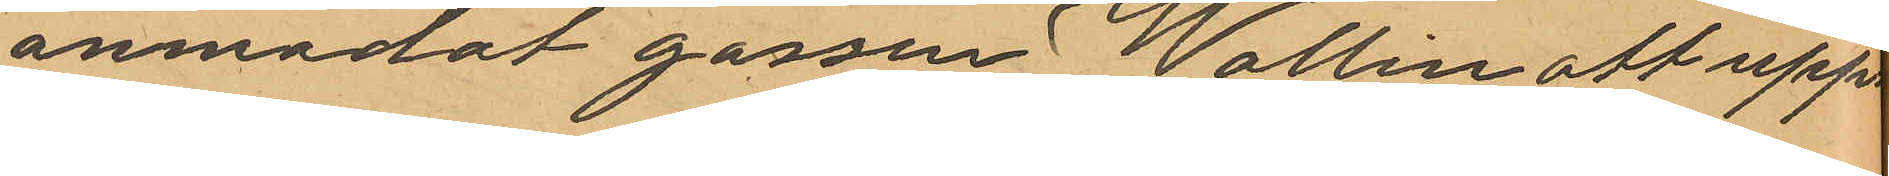anmodat gossen Wallin att upp¬
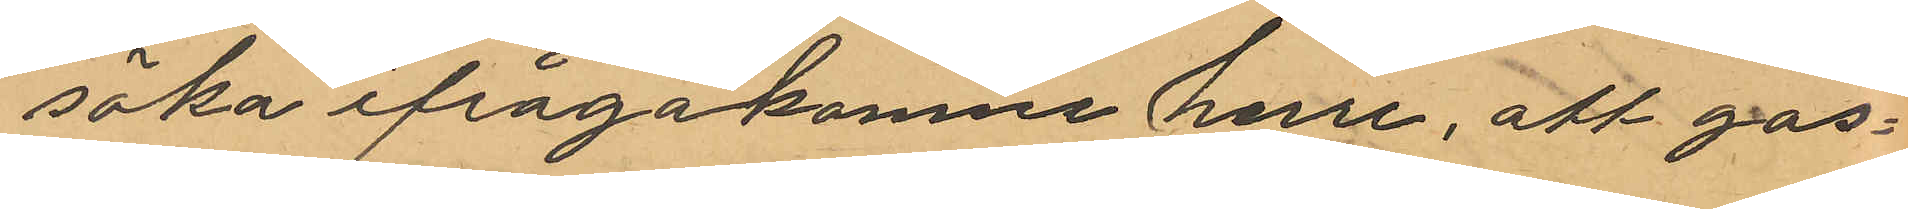söka ifrågakomne herre, att gos¬
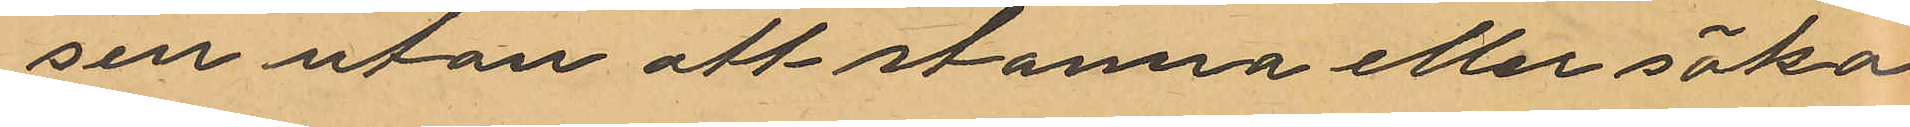sen utan at stanna eller söka
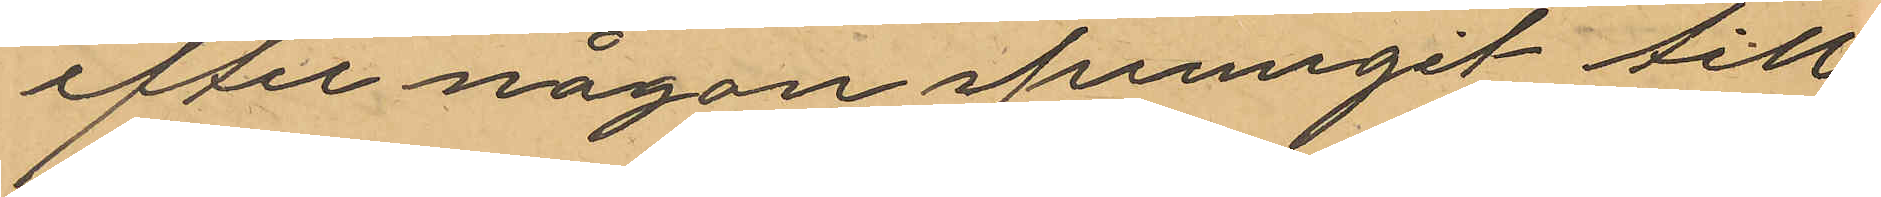efter någon sprunngit till
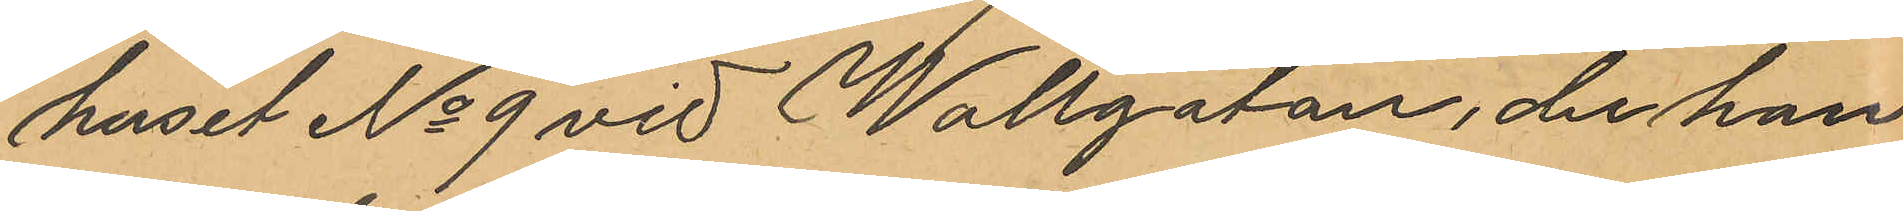huset No 9 vid Wallgatan, der han
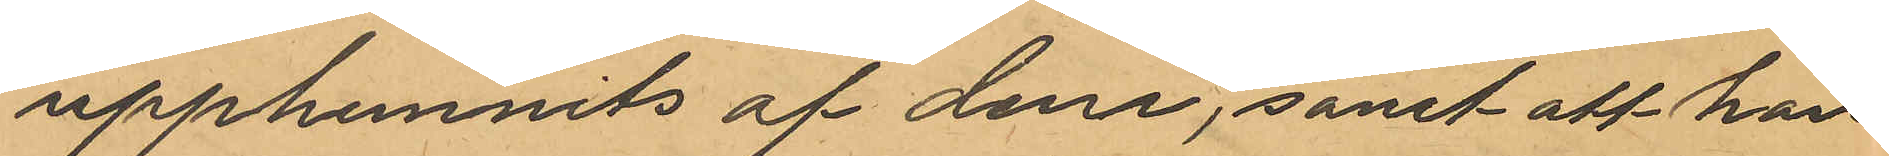upphunnits af dem, samt att han
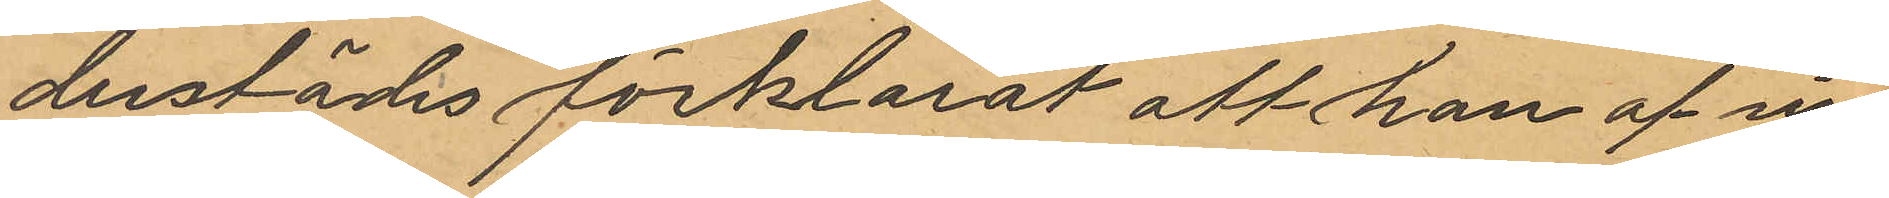derstädes förklarat att han af sin
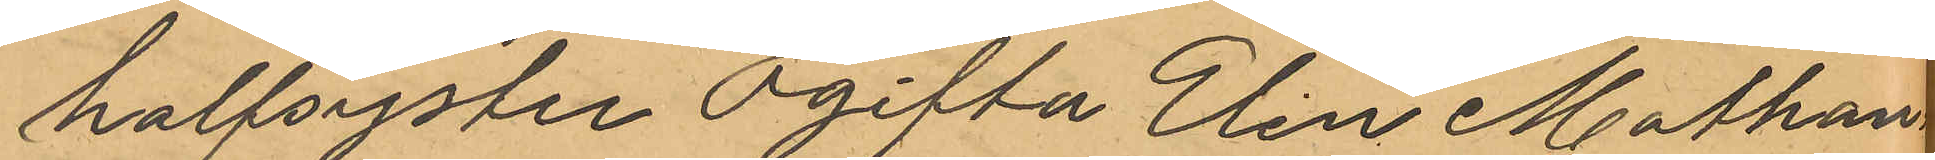halfsyster Ogifta Elin Mathan¬
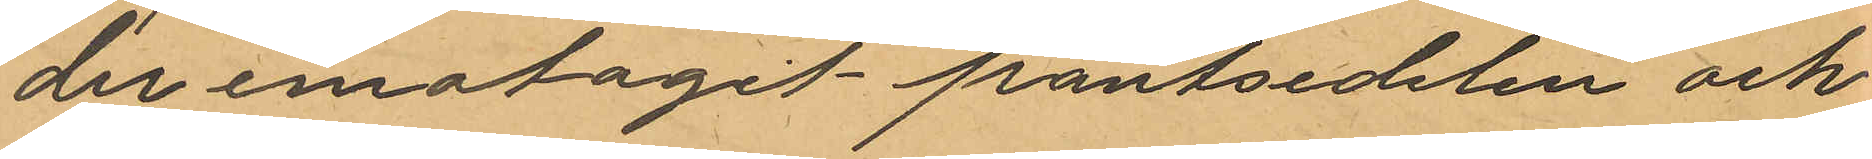der emotagit pantsedelen och
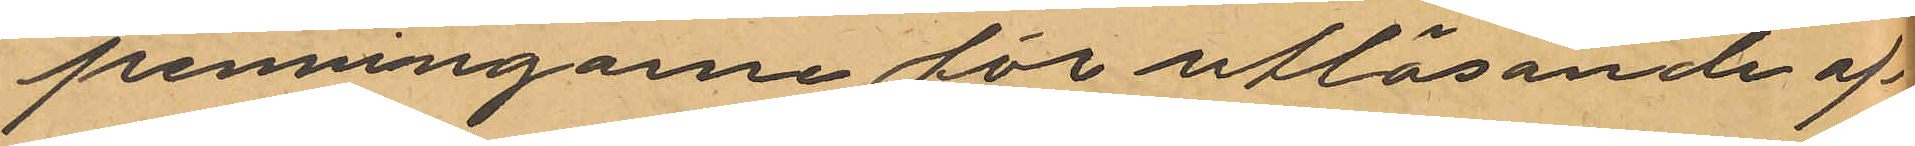penningarne för utlösande af
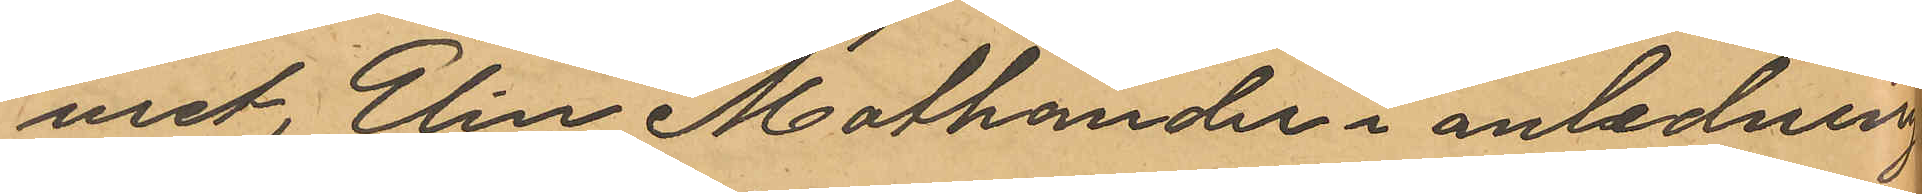uret. Elin Mathander i anledning
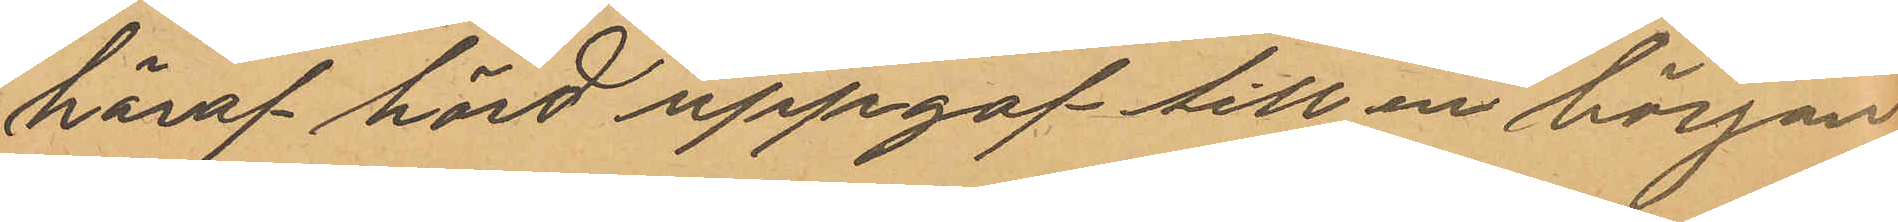häraf hörd uppgaf till en början
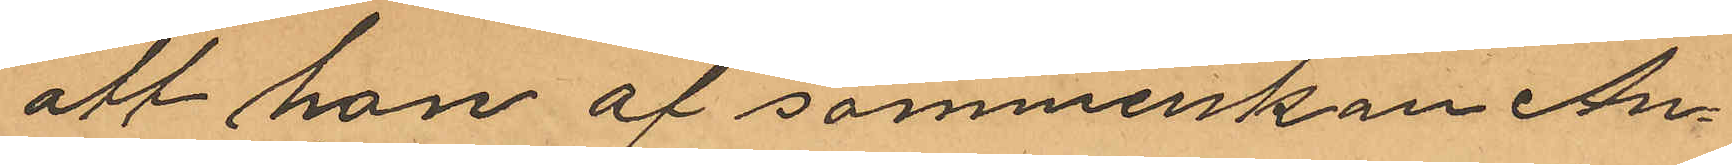att hon af sömmerskan An¬
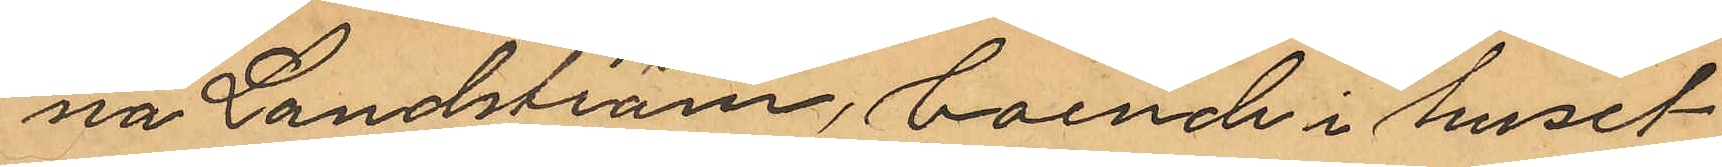na Landström, boende i huset
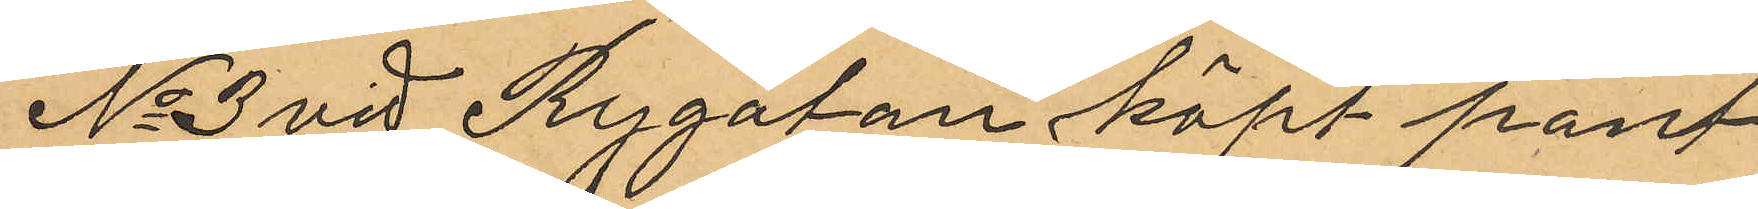No 3 vid Rygatan köpt pant¬
